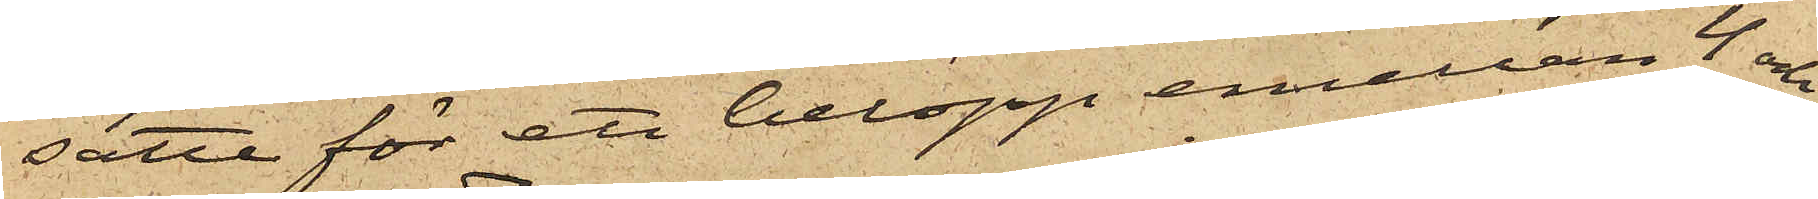satte för ett belopp emellan 4 och
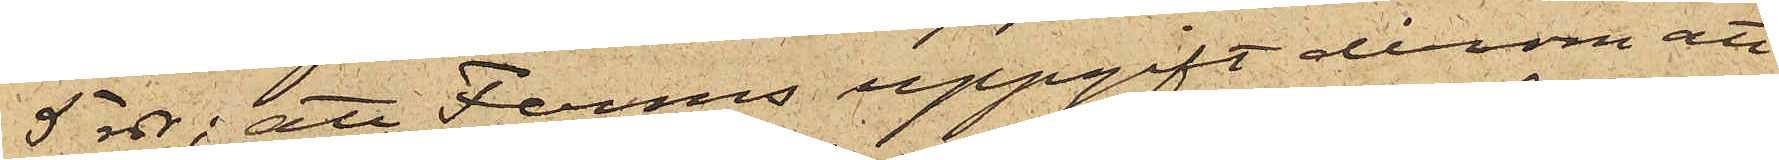5 rdr; att Ferms uppgift derom att
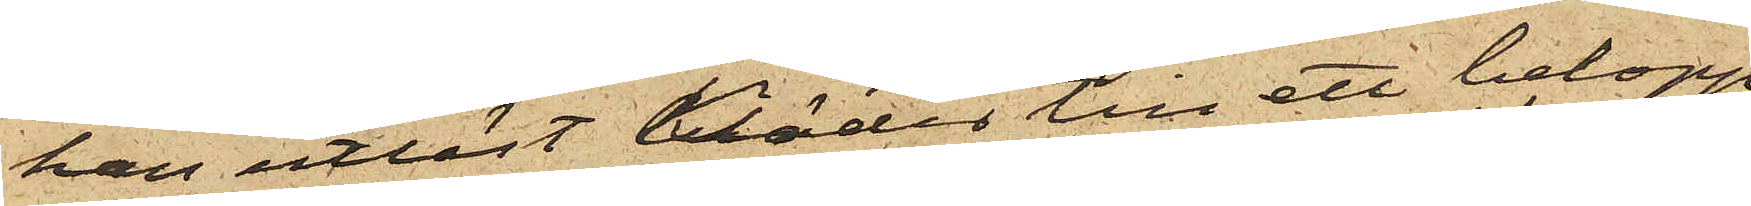han utlöst kläder till ett belopp
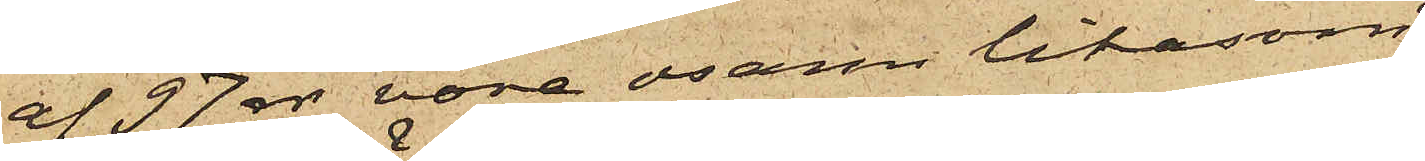af 97 rdr vore osann likasom
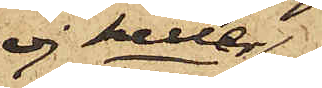ej heller
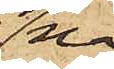nå¬
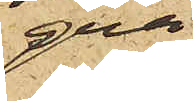gra
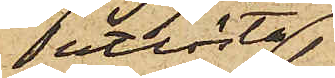utlösta
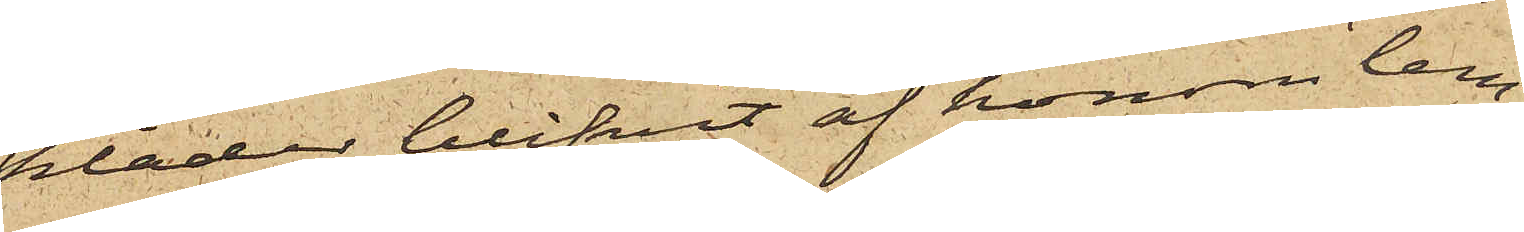kläder blifvit af honom lem¬
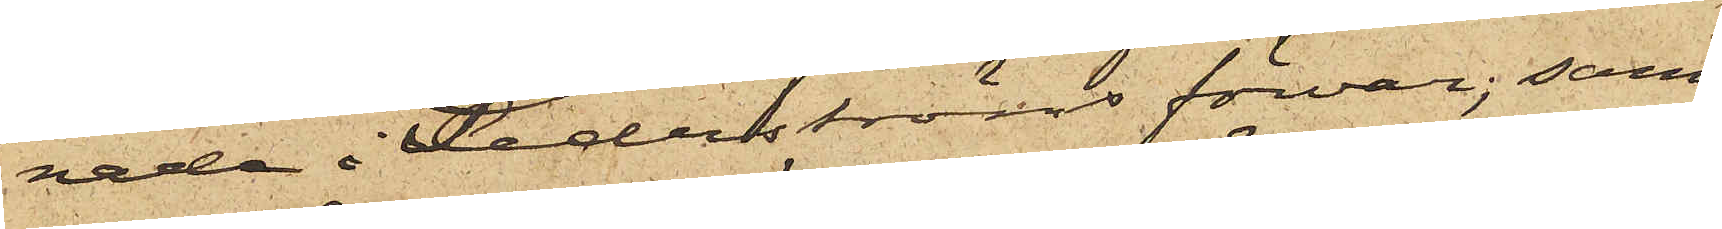nade i Sederströms förvar; samt
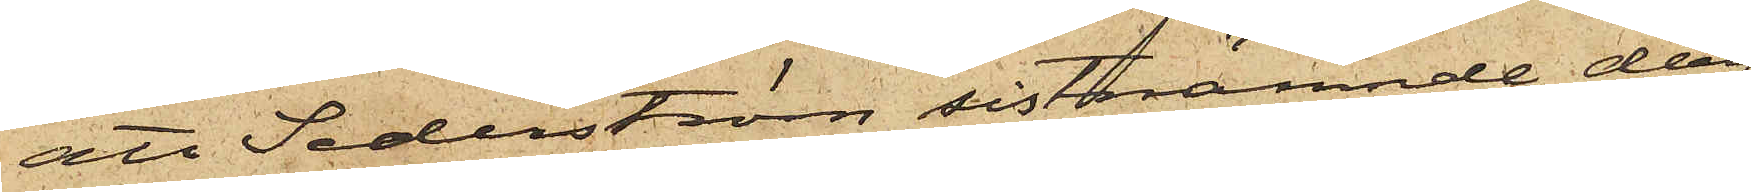att Sederström sistnämnde dag
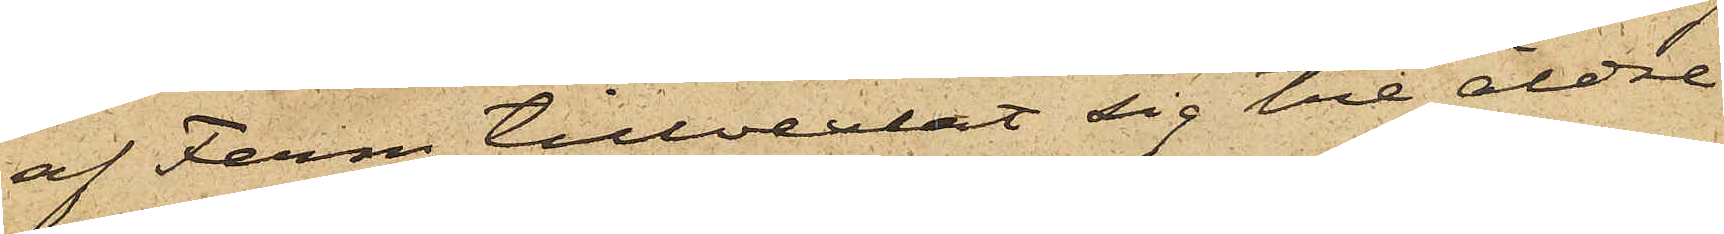af Ferm tillvexlat sig tre äldre
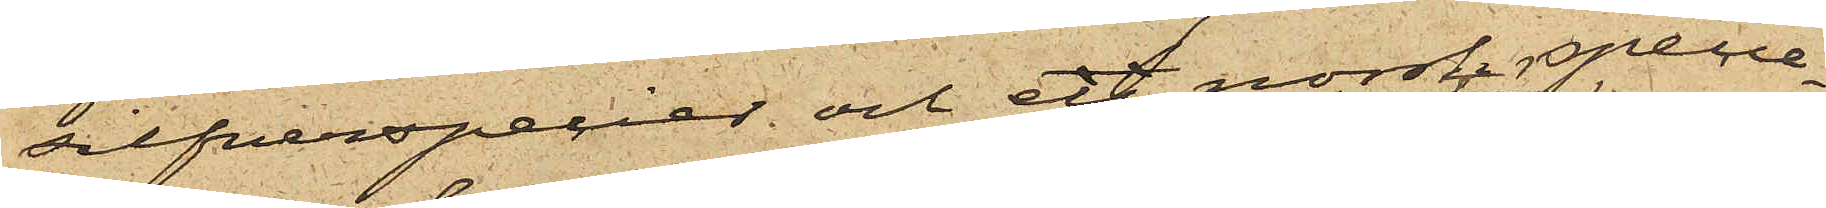silfverspecier och en norsk specie¬
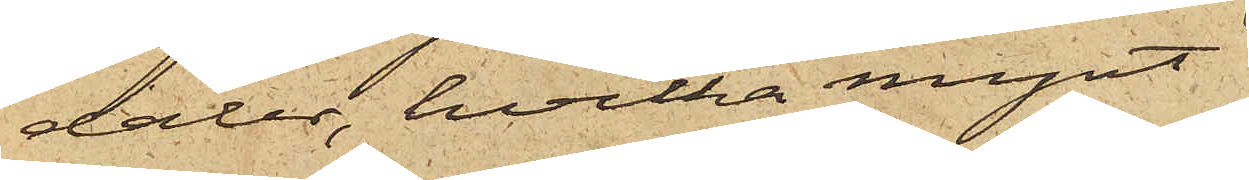daler, hvilka mynt
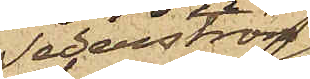Sederström
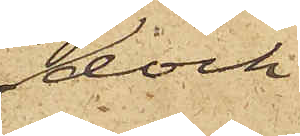dock
